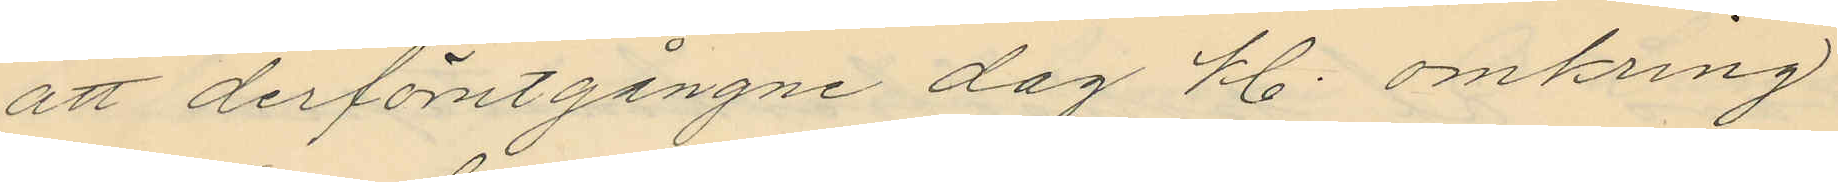att derförutgångne dag kl. omkring
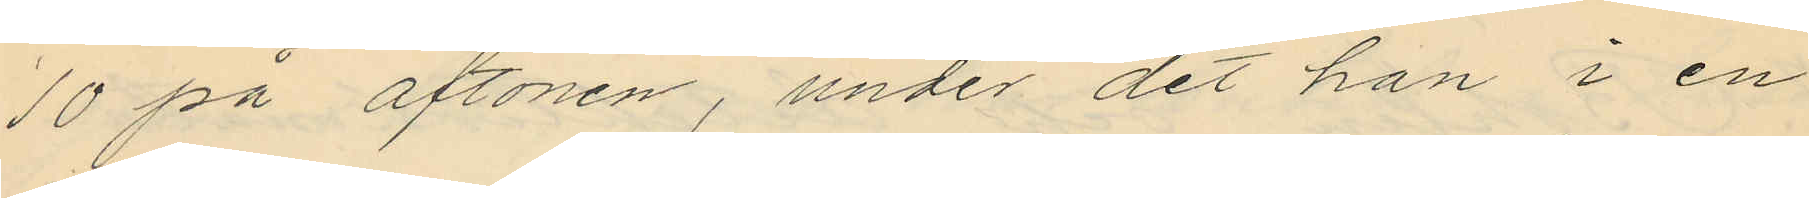10 på aftonen, under det han i en
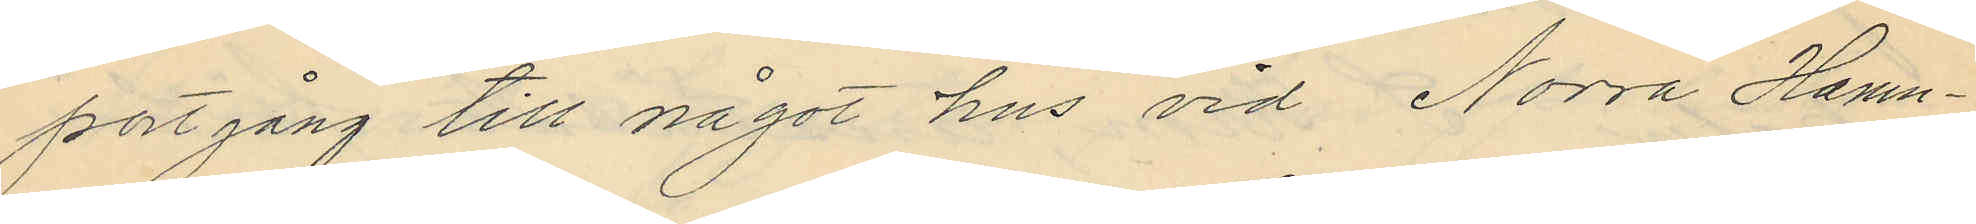portgång till något hus vid Norra Hamn¬
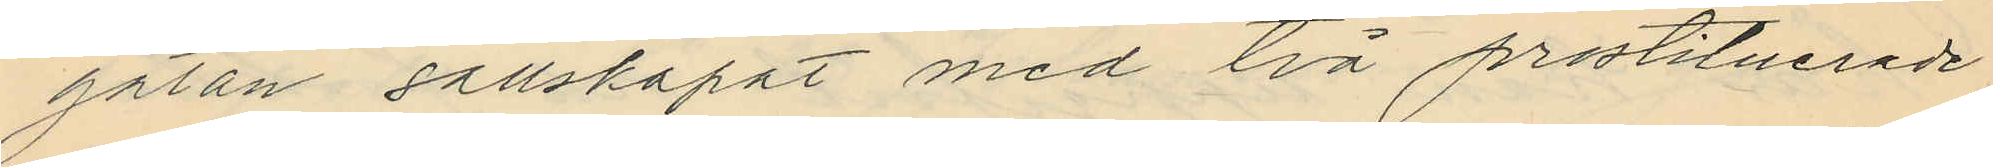gatan sällskapat med två prostituerade
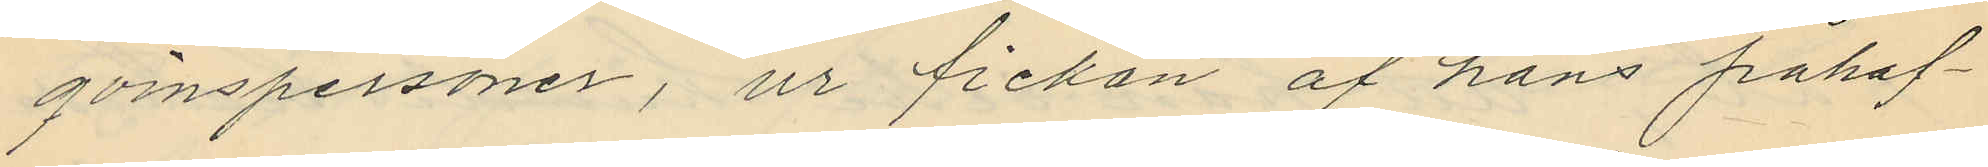qvinspersoner, ur fickan af hans påhaf¬
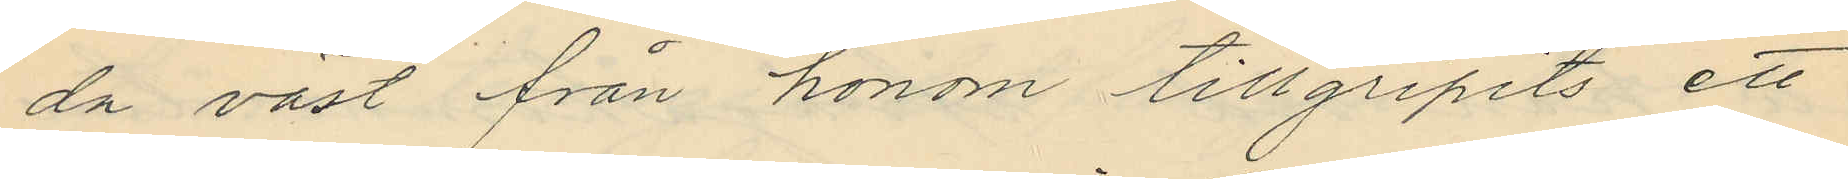da väst från honom tillgripits ett
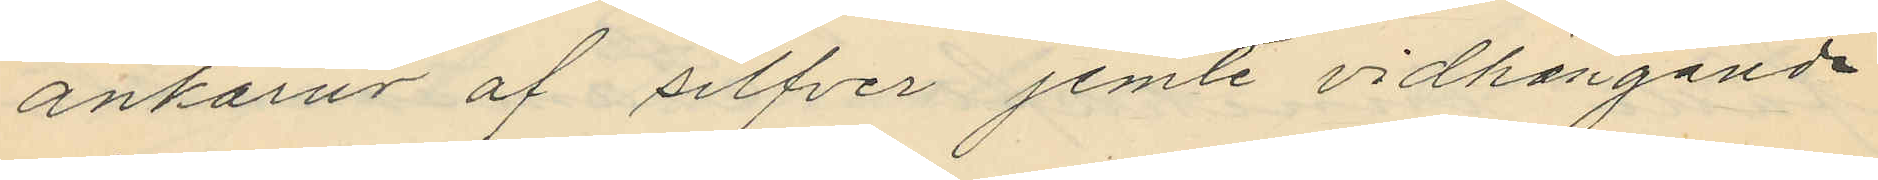ankarur af silfver jemte vidhängande
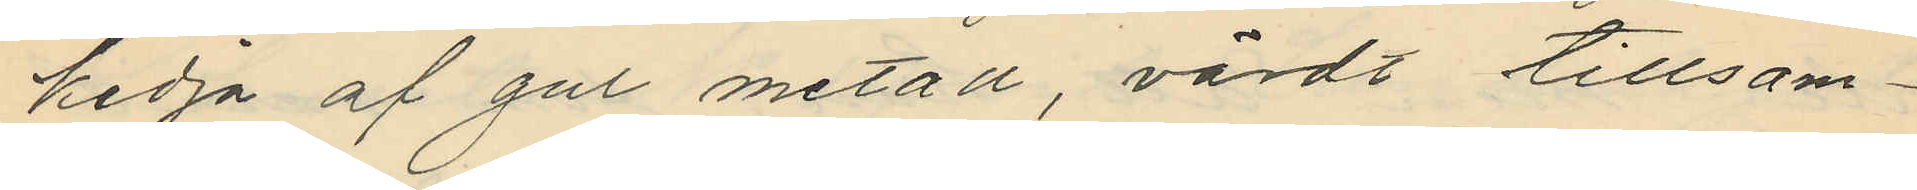kedja af gul metall, värdt tillsam¬
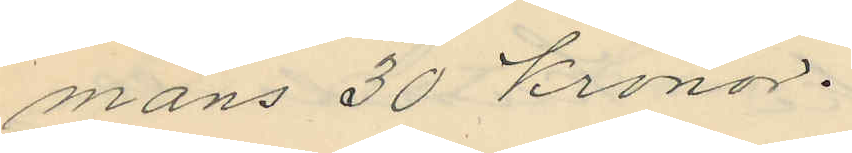mans 30 Kronor.
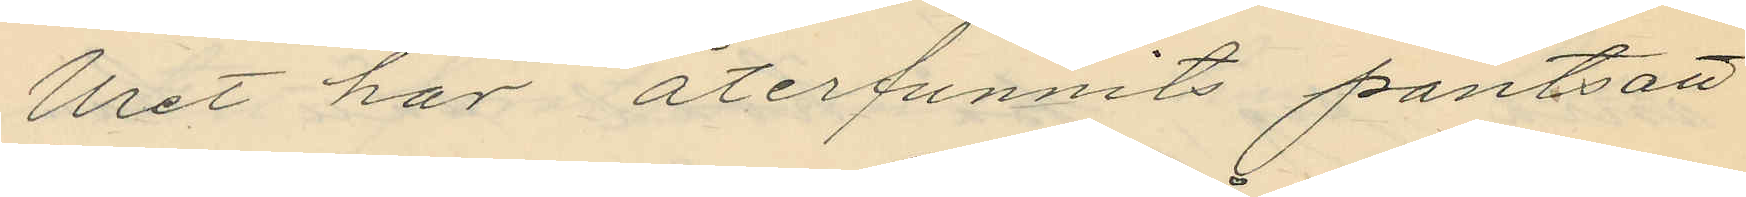Uret har återfunnits pantsatt
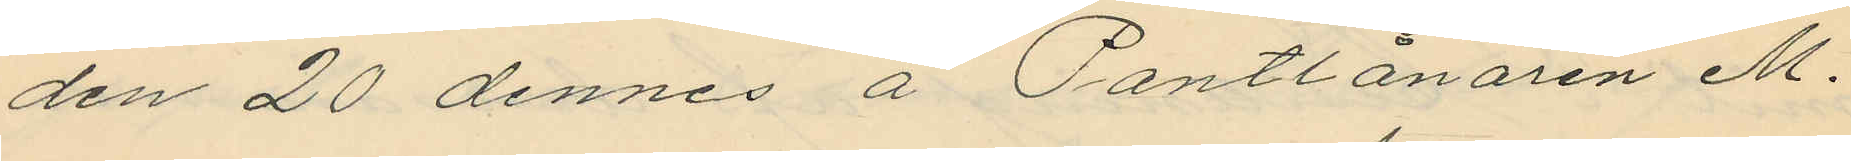den 20 dennes å Pantlånaren M.
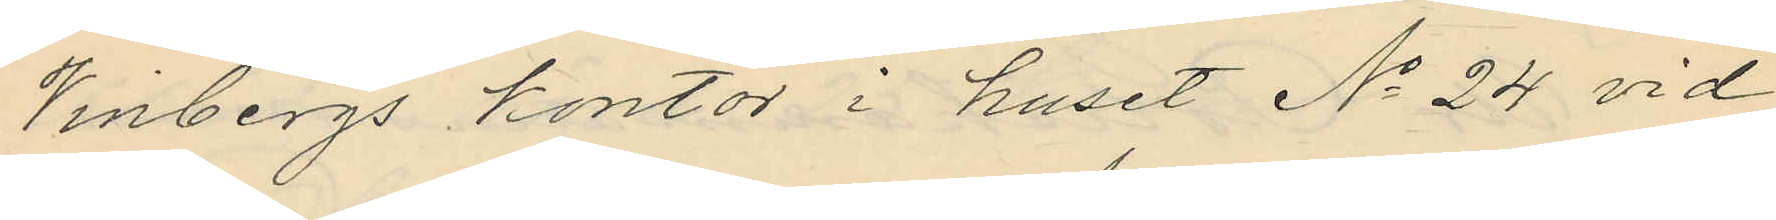Vinbergs kontor i huset No 24 vid
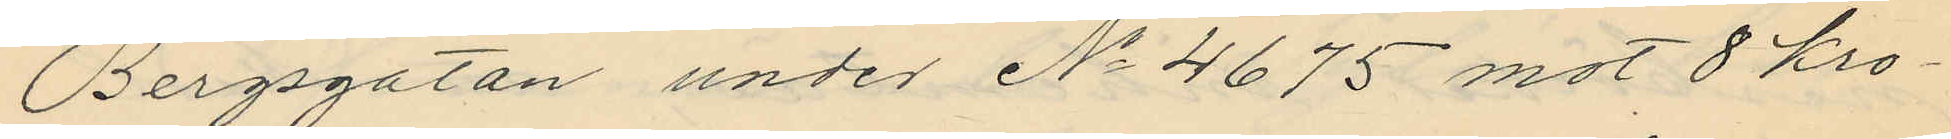Bergsgatan under No 4675 mot 8 kro¬
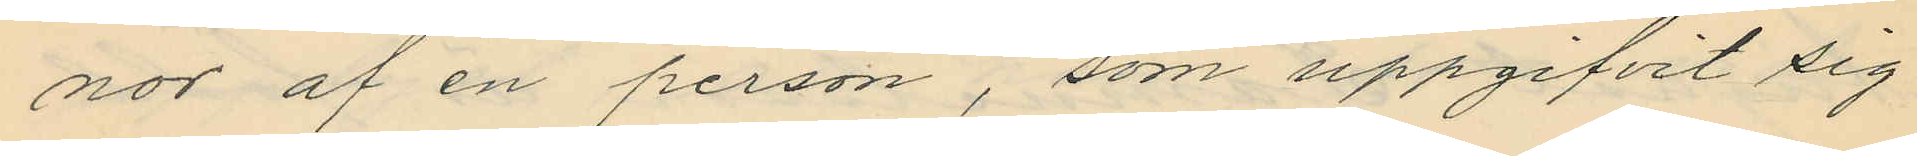nor af en person, som uppgifvit sig
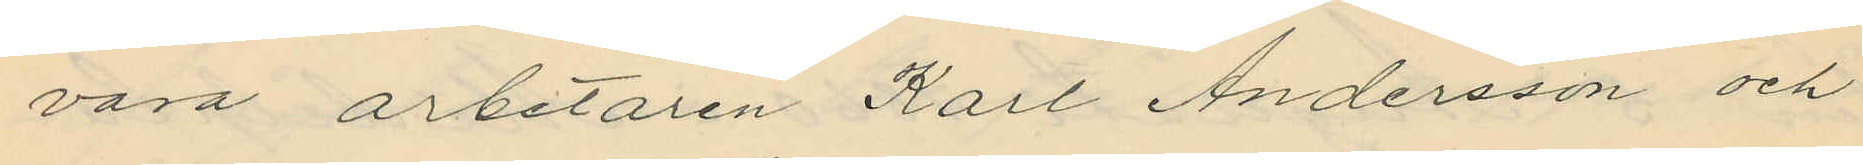vara arbetaren Karl Andersson och
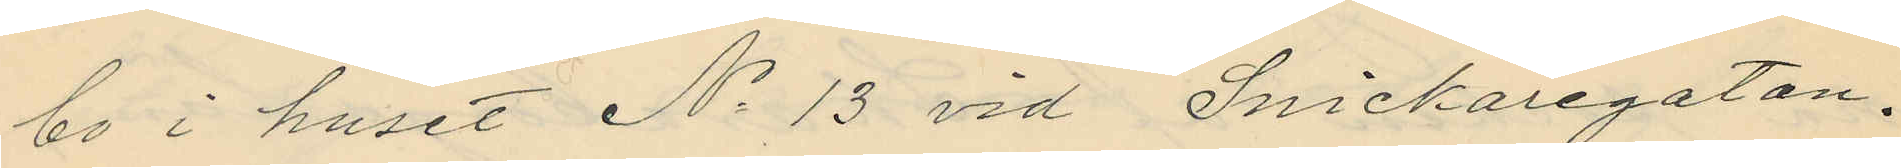bo i huset No 13 vid Snickaregatan.
